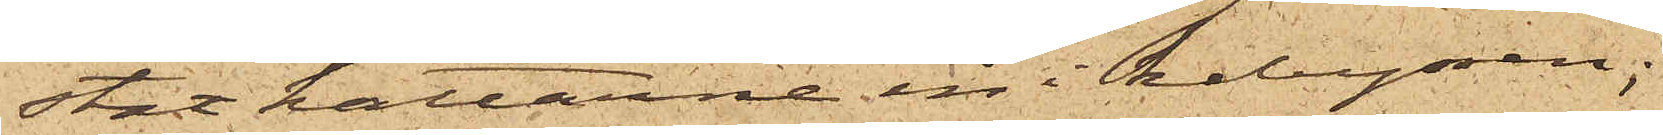stat hattarne in i kabyssen;
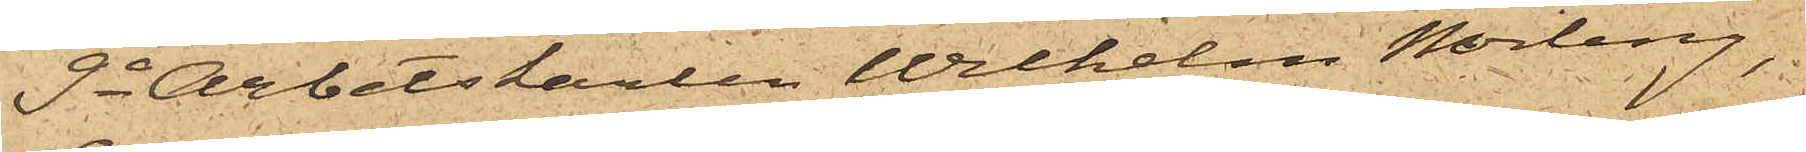9o Arbetskarlen Wilhelm Norling,
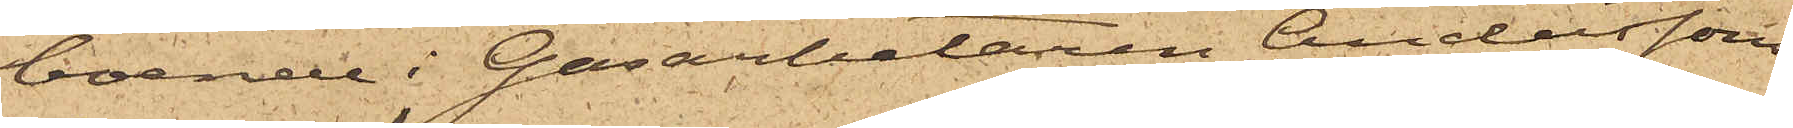boende i Gasarbetaren Anderssons
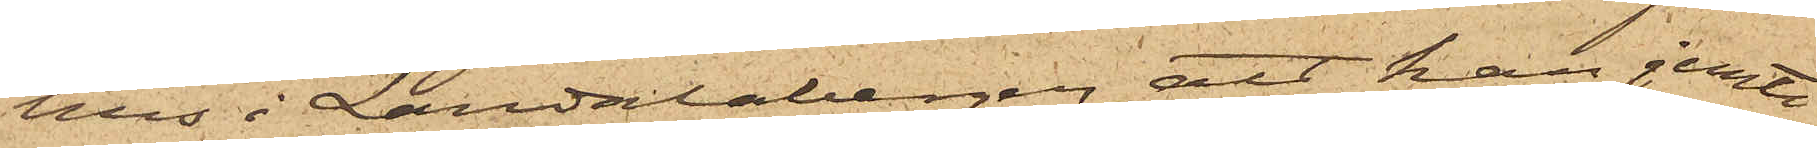hus i Landalabergen, att han jemte
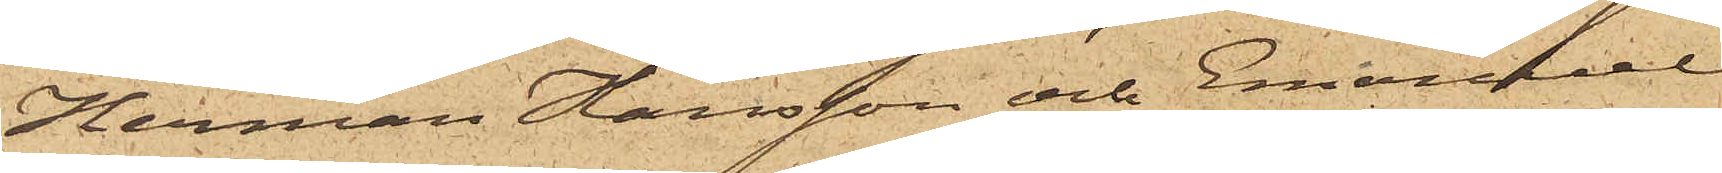Herman Hansson och Emanuel
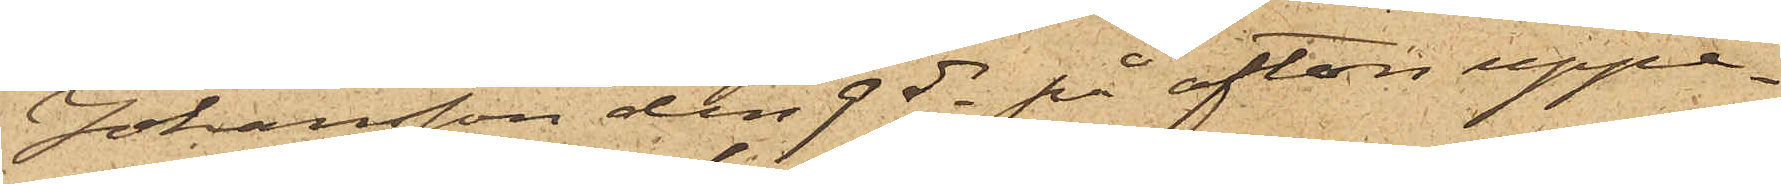Johansson den 9 ds på afton uppe¬
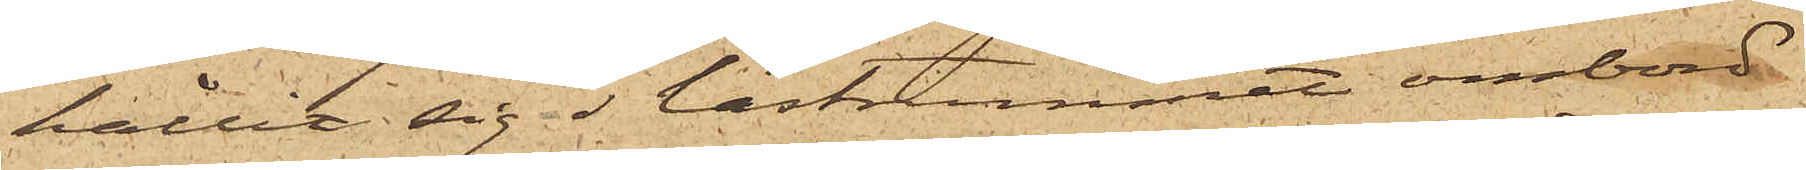hållit sig lastrummet ombord
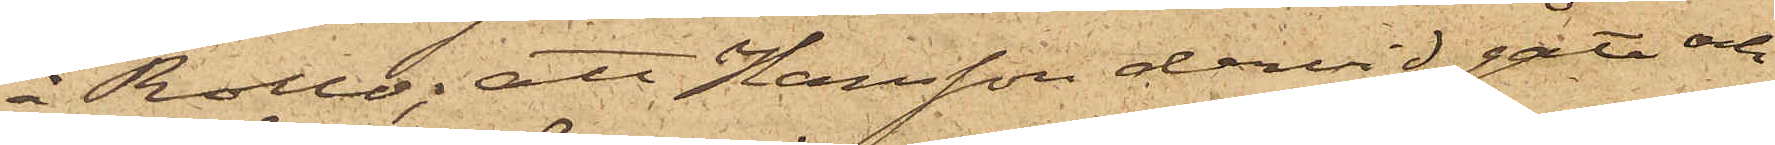å Rollo; att Hansson dervid gått och
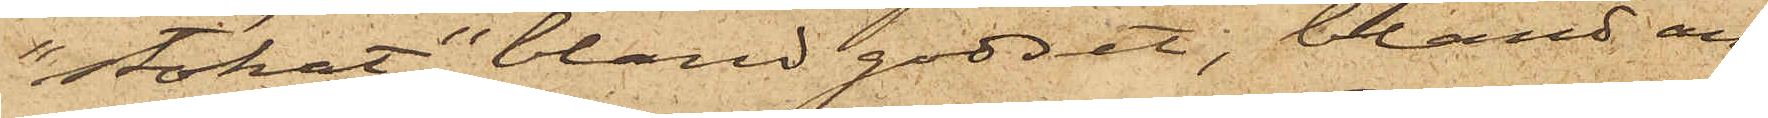"stökat" bland godset, bland an¬
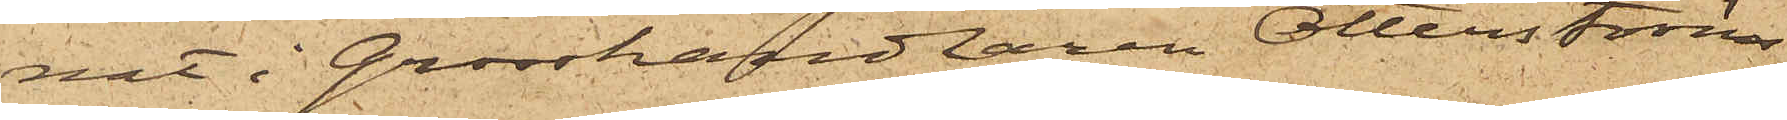nat i Grosshandlaren Otterströms
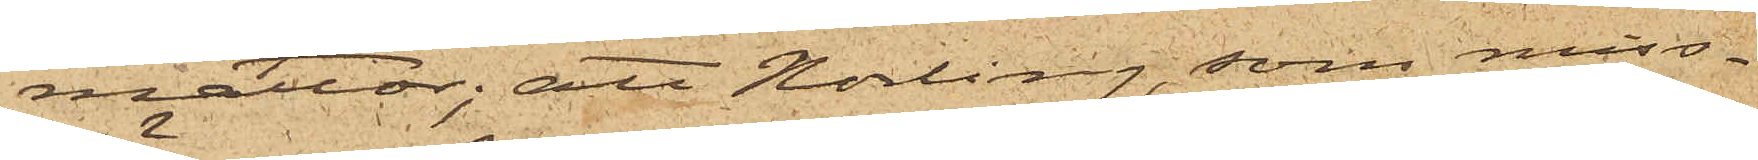mattor; att Norling, som miss¬
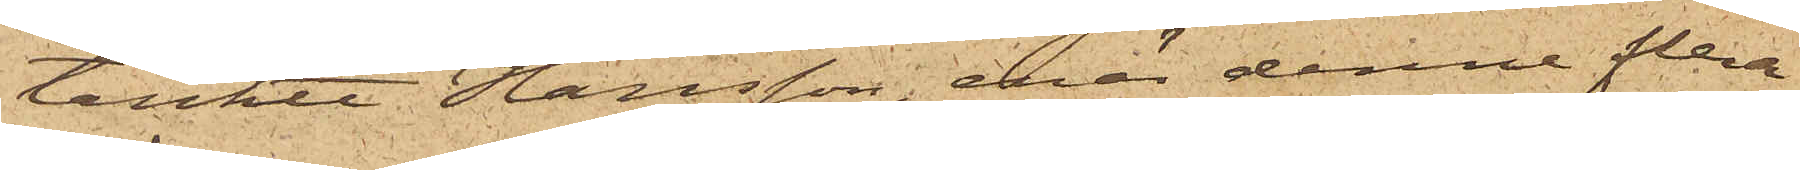tänkte Hansson, enär denne flera
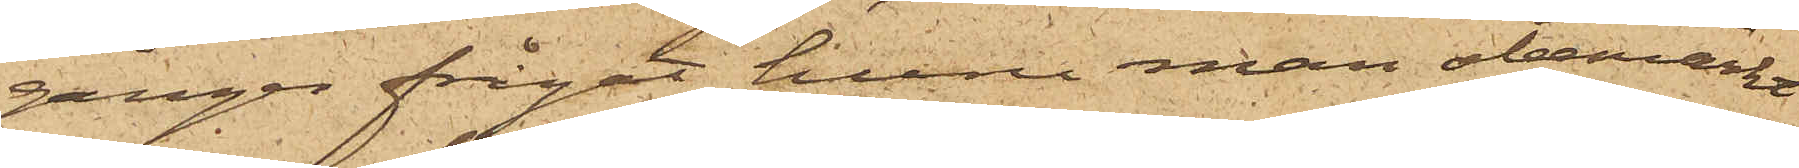gånger frågat huru man obemärkt
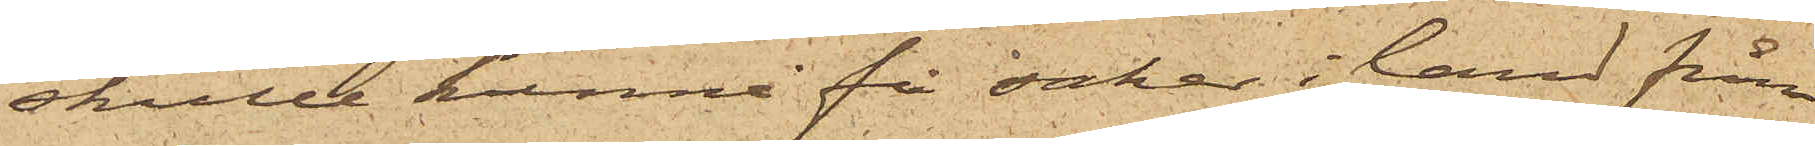skulle kunna få saker i land från
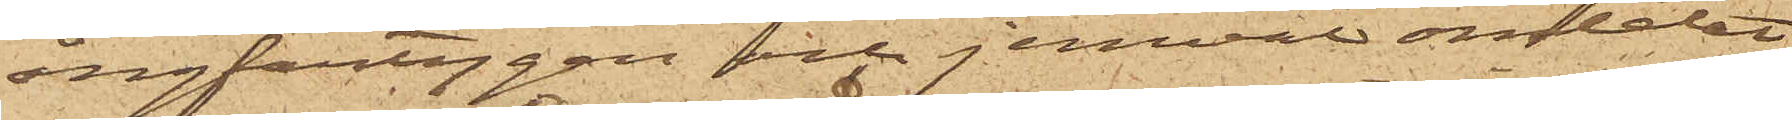ångfartygen och jemväl omtalat
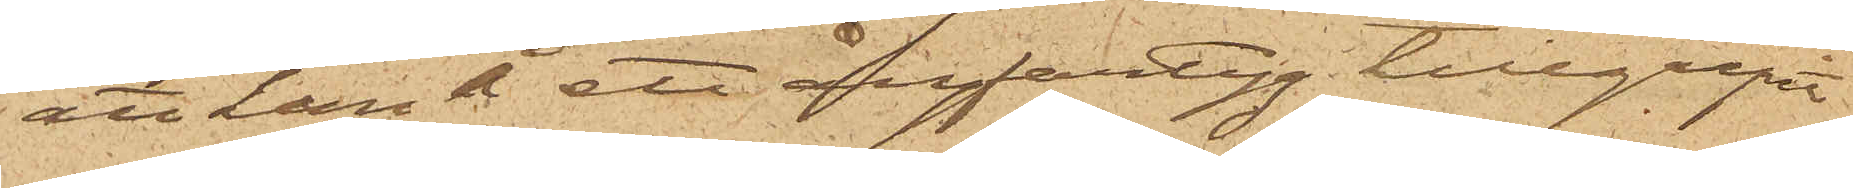att han å ett ångfartyg tillgripit
